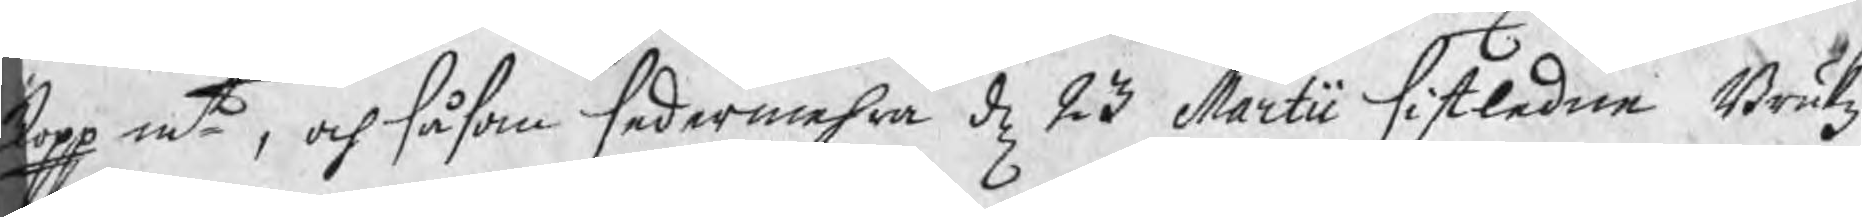kopp mt, och såsom sedermehra d 23 Martii sistledne Brukz¬
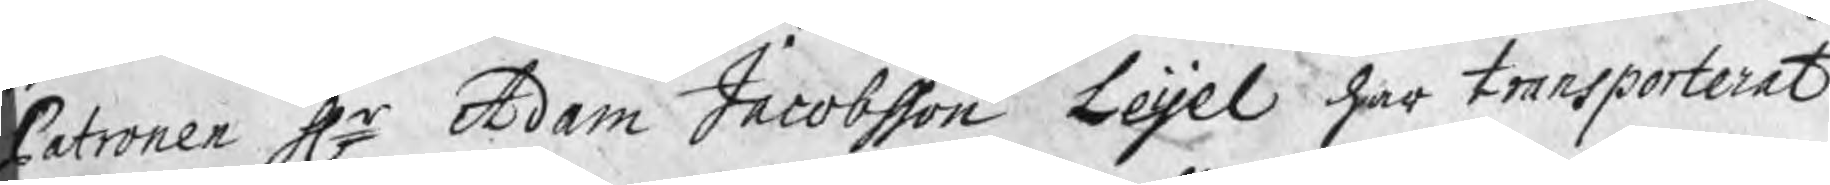Patronen Hr Adam Jacobsson Leijel har transporterat
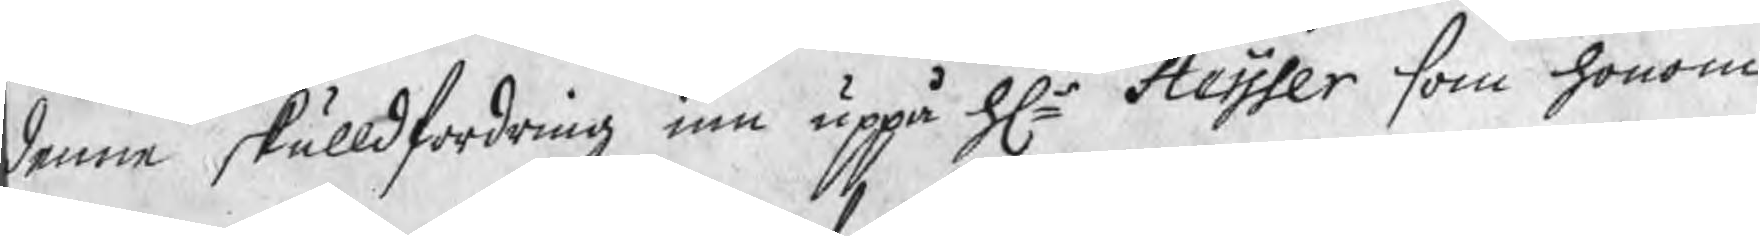denne skulldfordring inn uppå Hr Heisser som honom
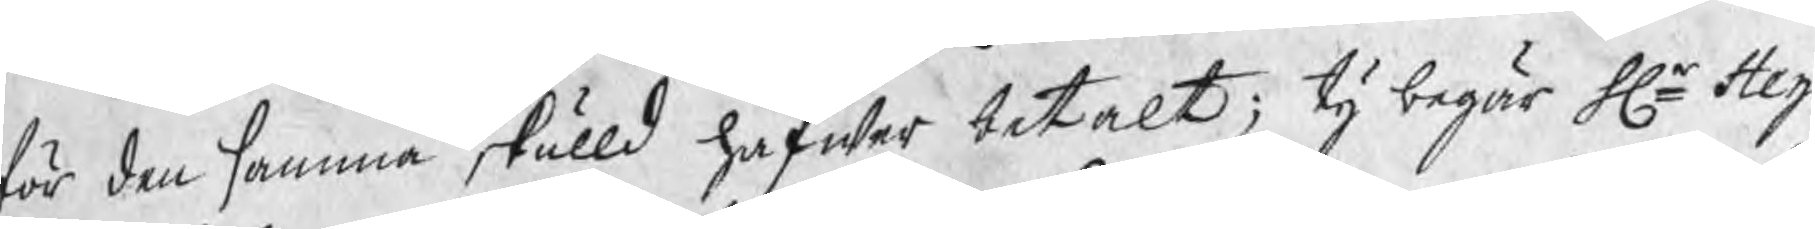för den samma skulld hafwer betalt; ty begär Hr Heij¬
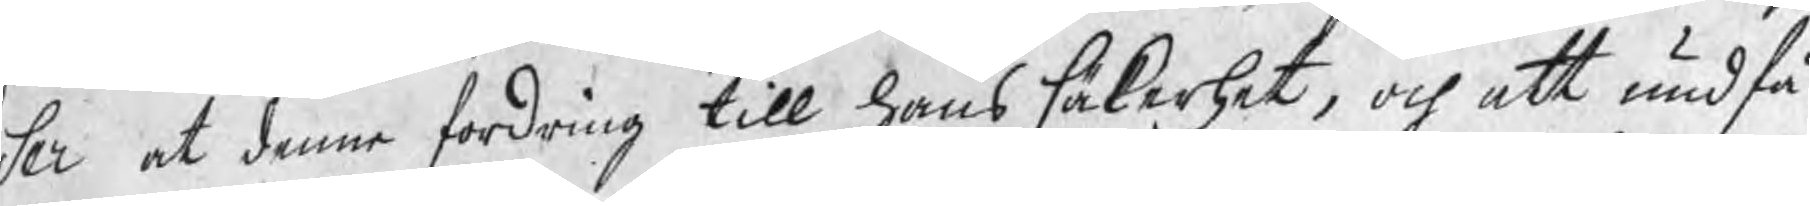ser at denne fordring till hans säkerhet, och att undfå
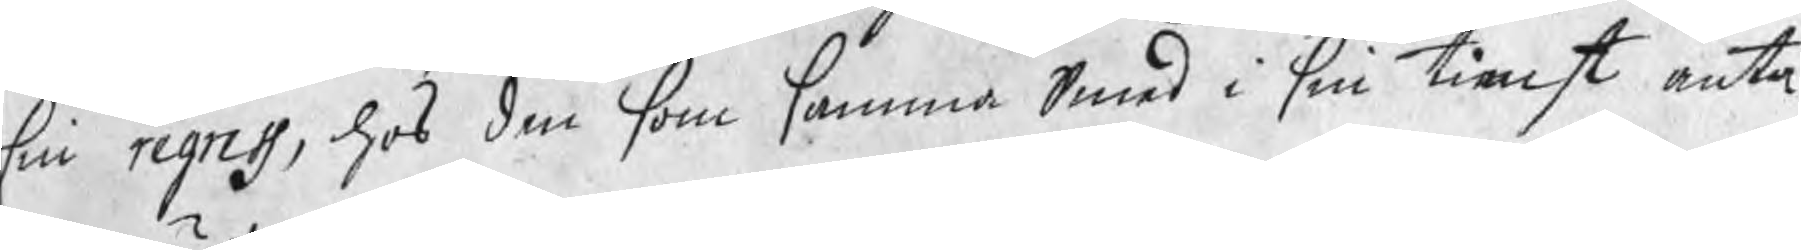sin regress, hos den som samma Smed i sin tienst anta¬
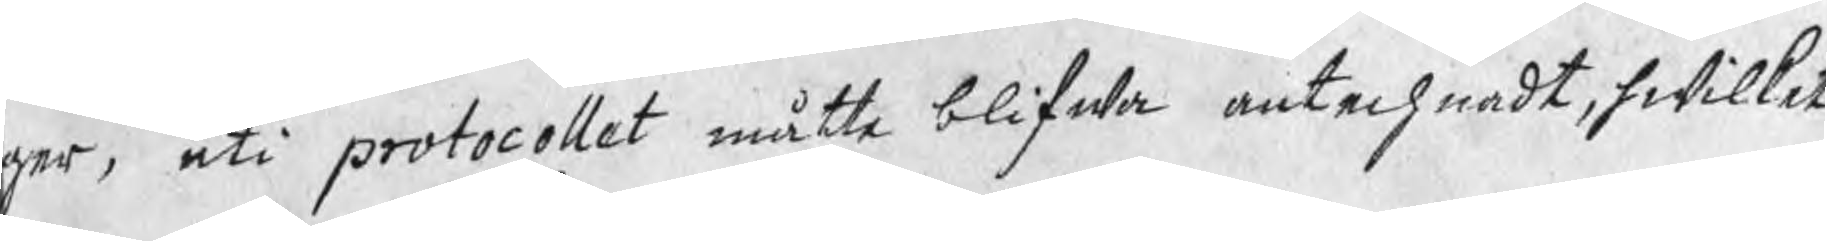ger, uti protocollet måtte blifwa antechnadt, hwilket
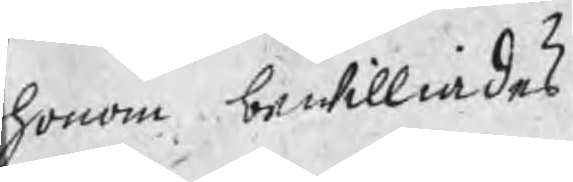honom bewilliades.
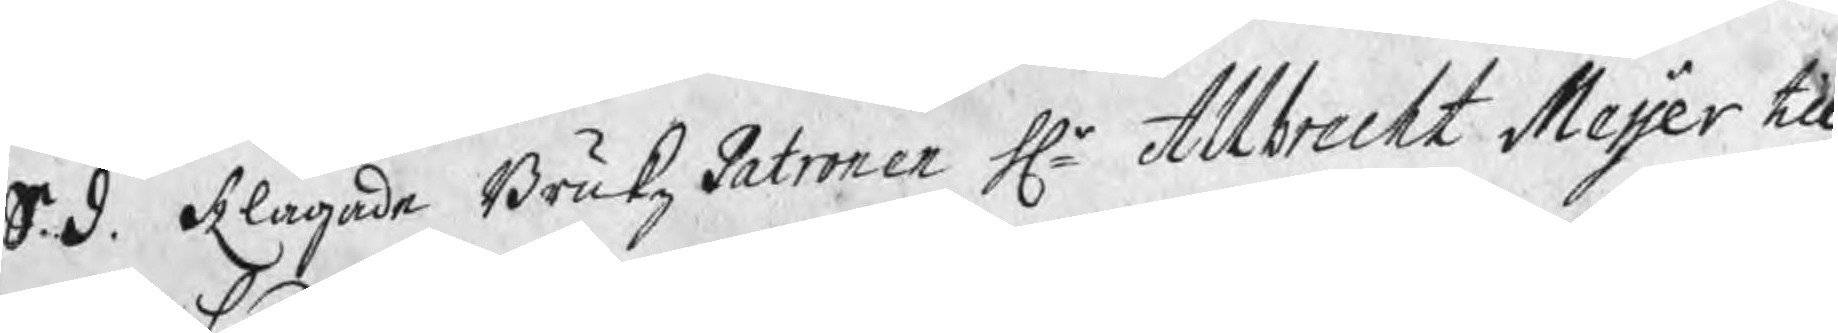S. d. Klagade BrukzPatronen Hr Allbreckt Meijer till
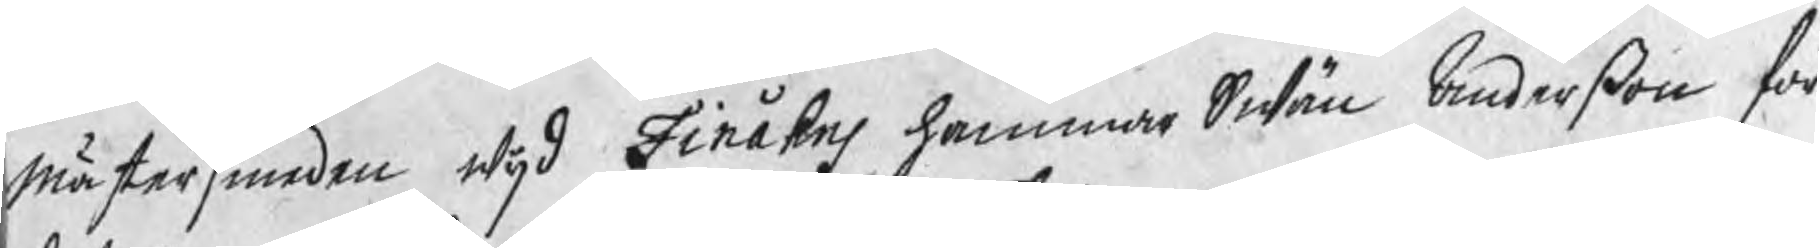mästersmeden wijd Finåkes hammar Swän Anderßon för
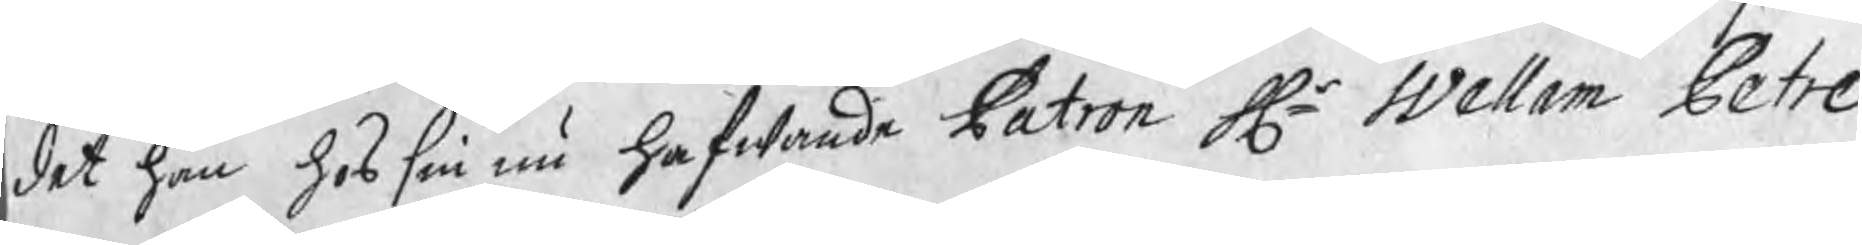det han hos sin nu hafwande Patron Hr Wellam Petre
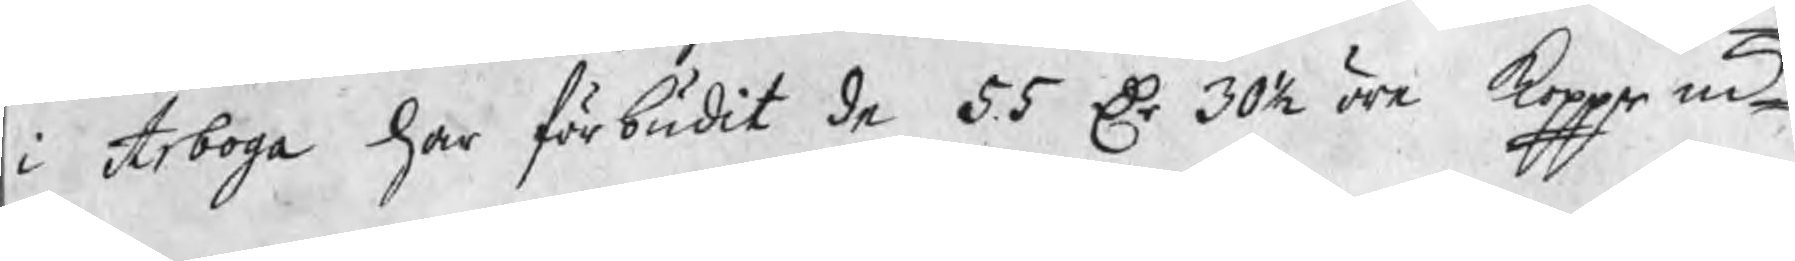i Arboga har förbudit de 55 Dr 30½ öre koppr mt
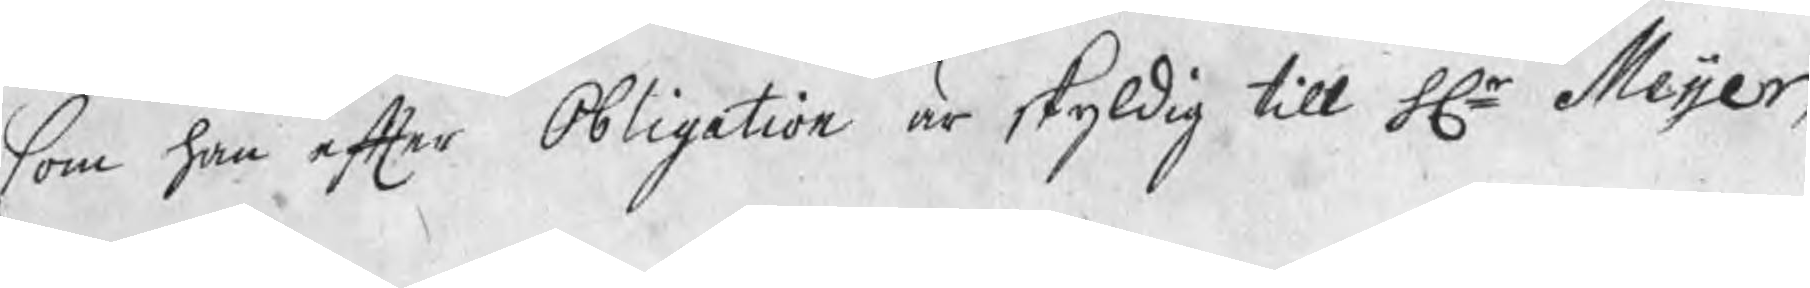som han efter Obligation är skyldig till Hr Meijer,
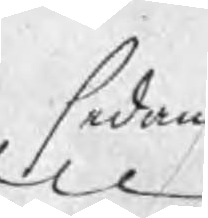sedan
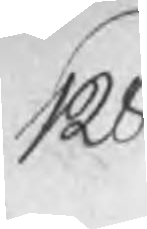128
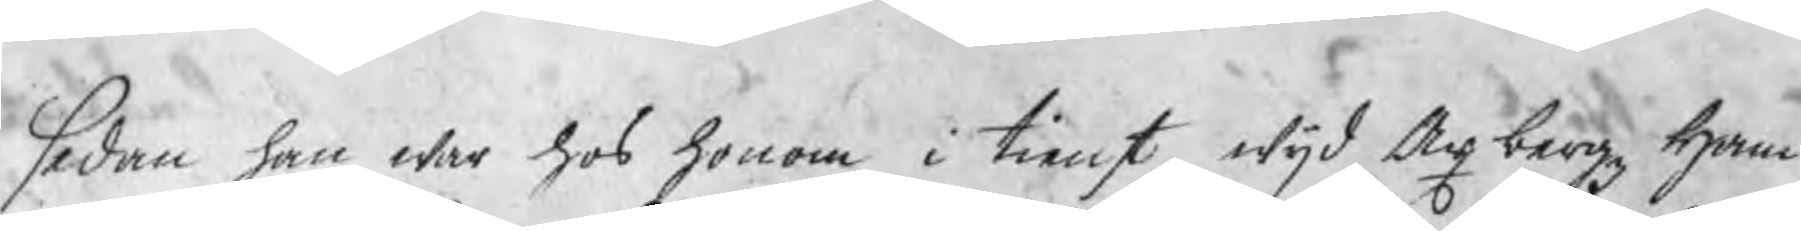sedan han war hos honom i tienst wijd Axbergz Ham¬
